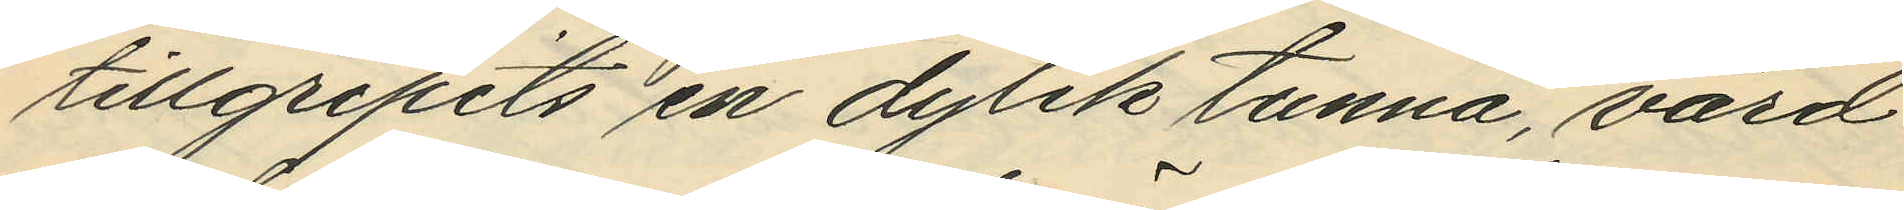tillgripits en dylik tunna, värd
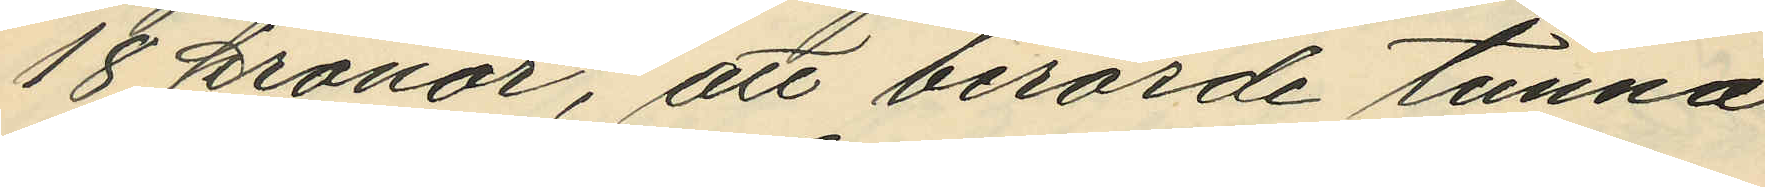18 kronor, att berörde tunna
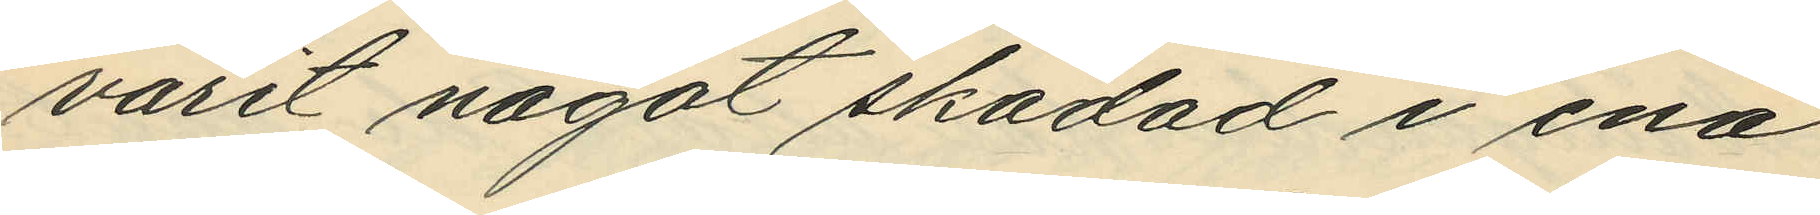varit något skadad i ena
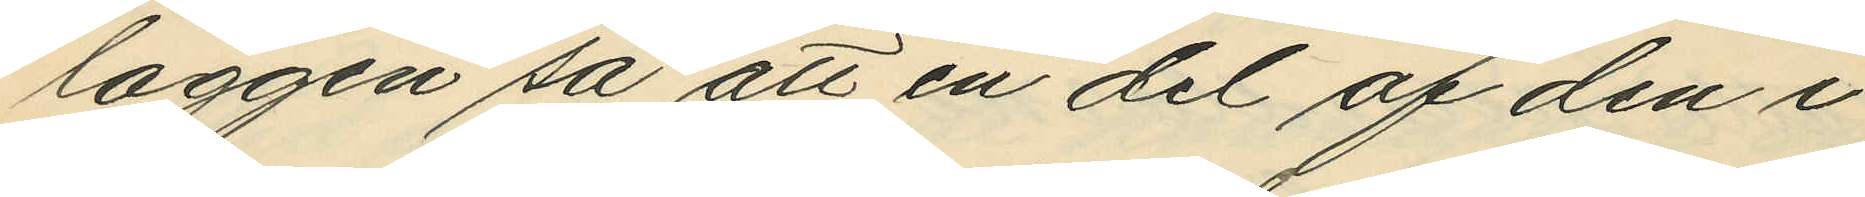laggen så att en del af den i
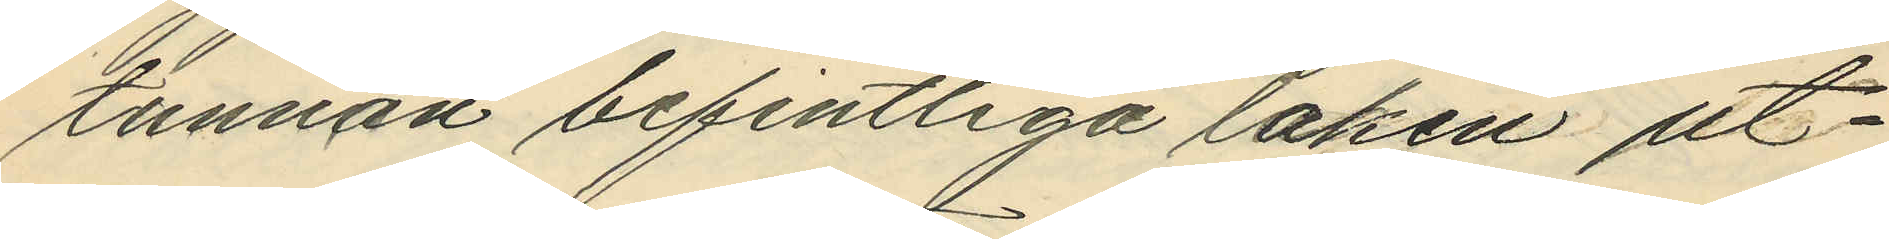tunnan befintliga laken ut¬
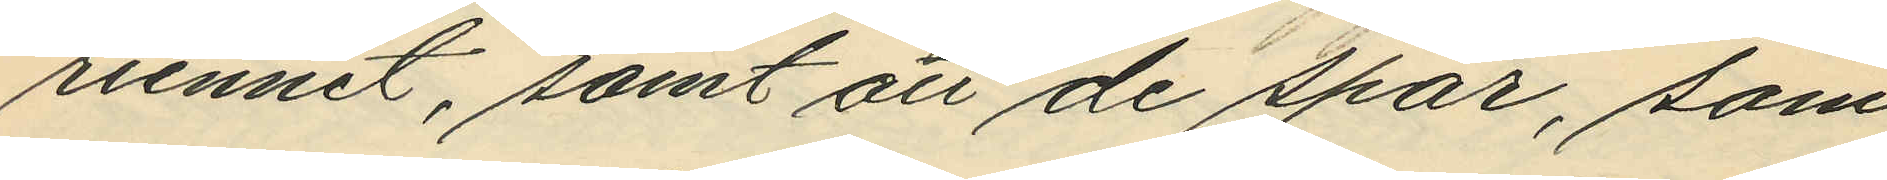runnit, samt att de spår, som
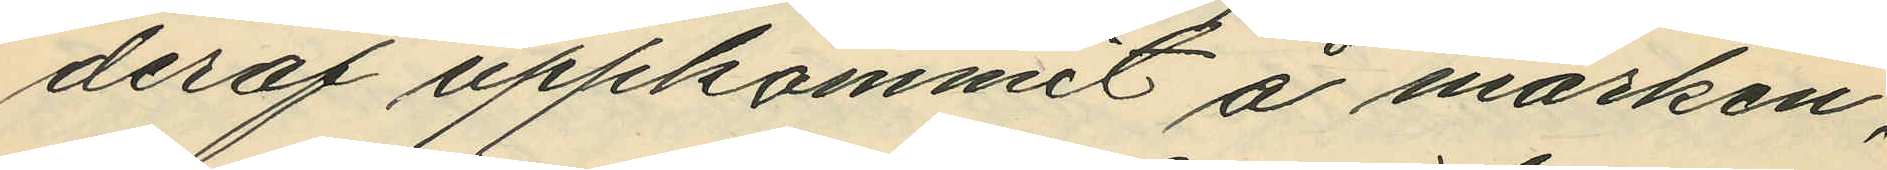deraf uppkommit å marken,
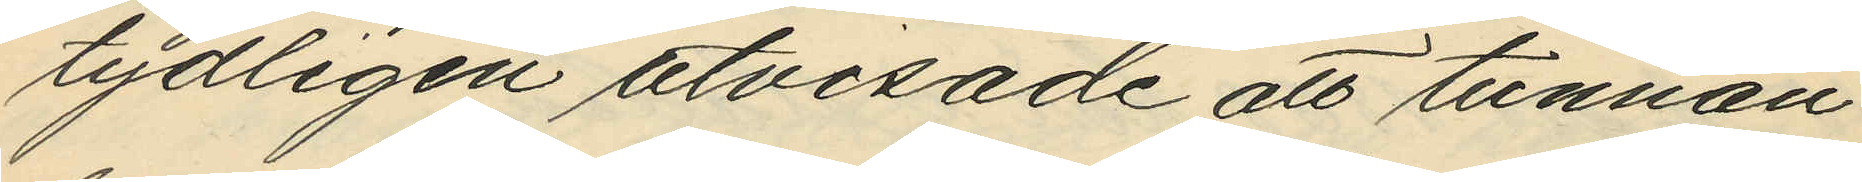tydligen utvisade att tunnan
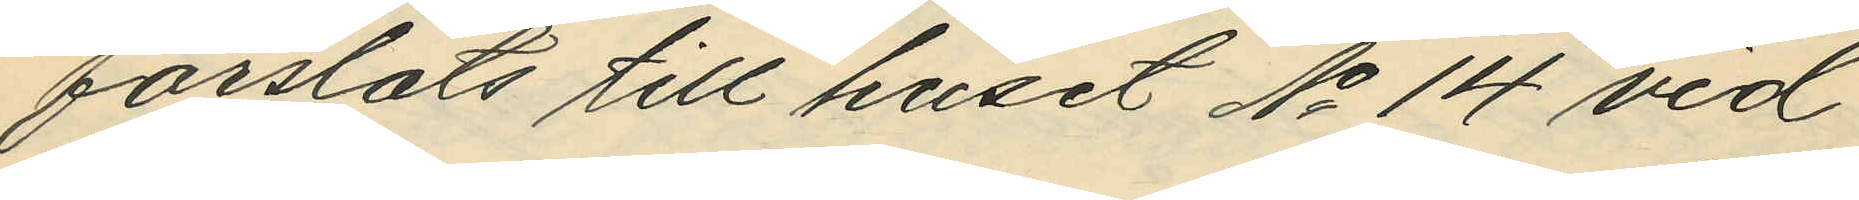forslats till huset No 14 vid
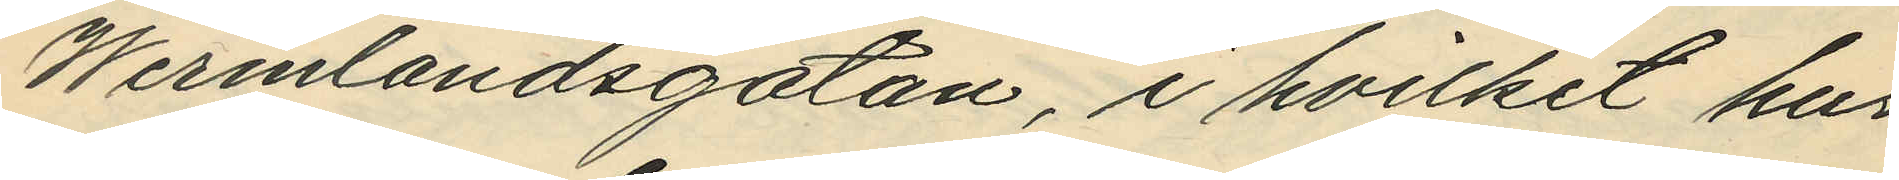Wermlandsgatan, i hvilket hus
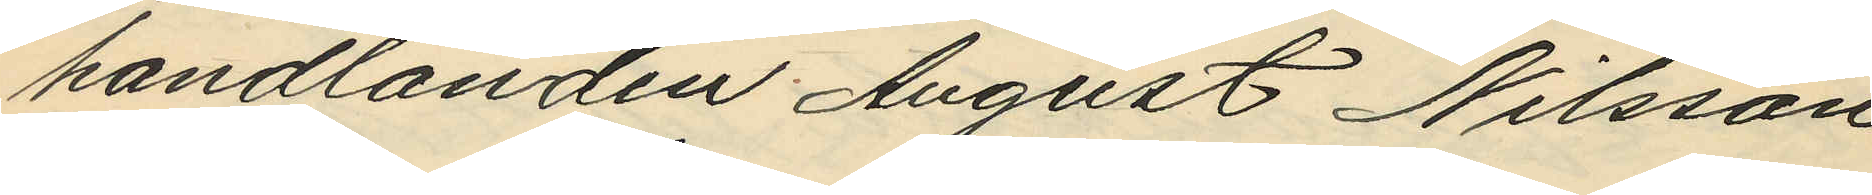handlanden August Nilsson
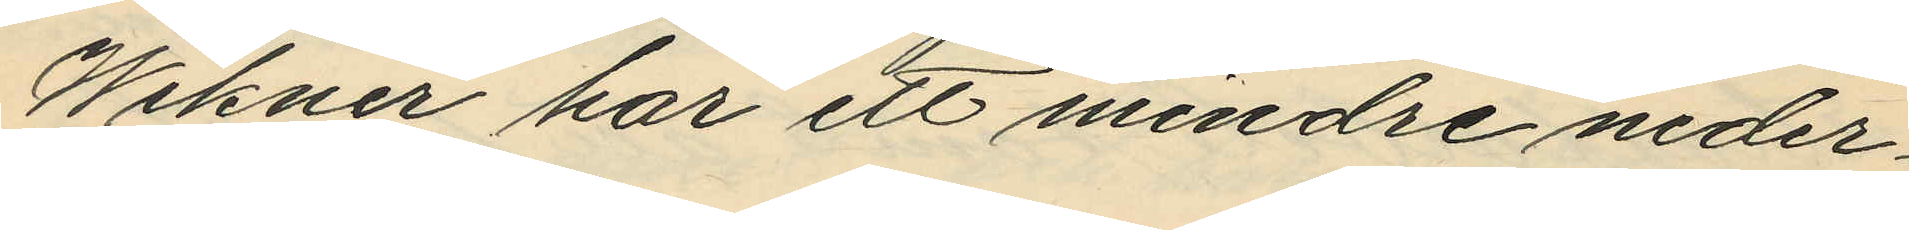Wikner har ett mindre neder¬
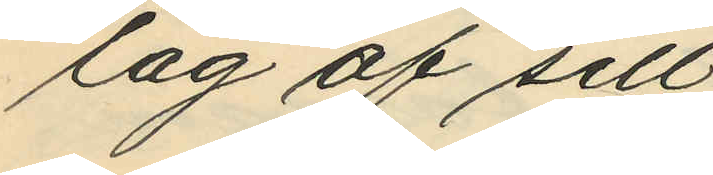lag af sill.
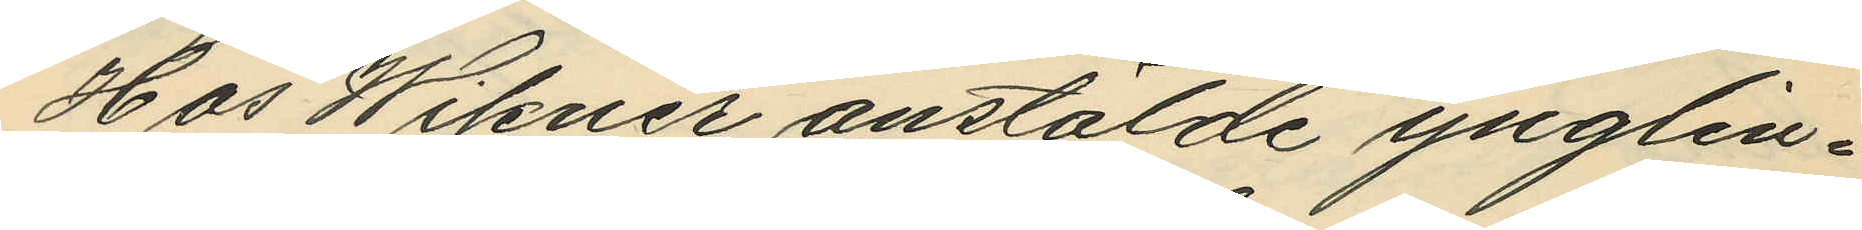Hos Wikner anstälde ynglin¬
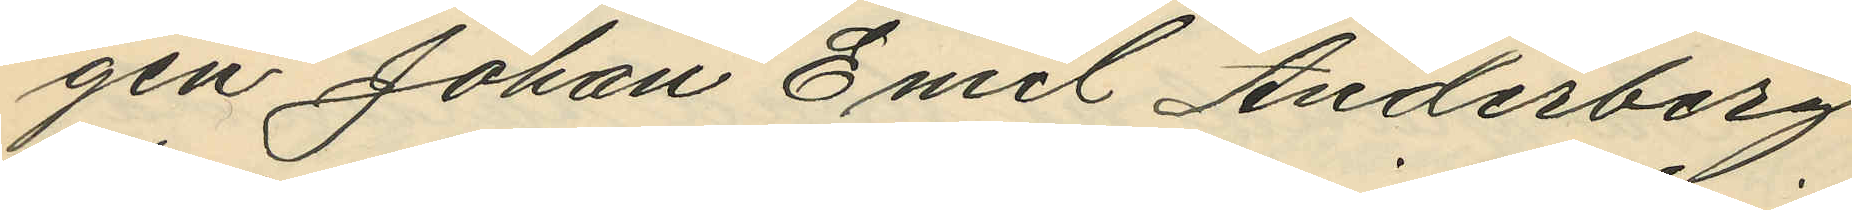gen Johan Emil Anderberg
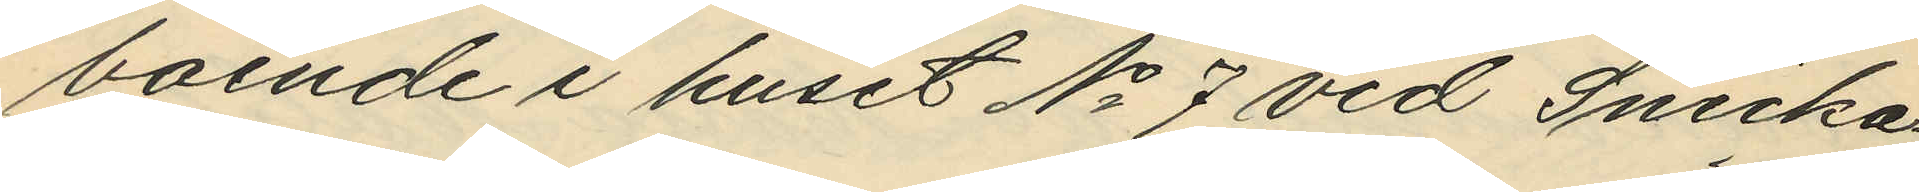boende i huset No 7 vid Snicka¬
